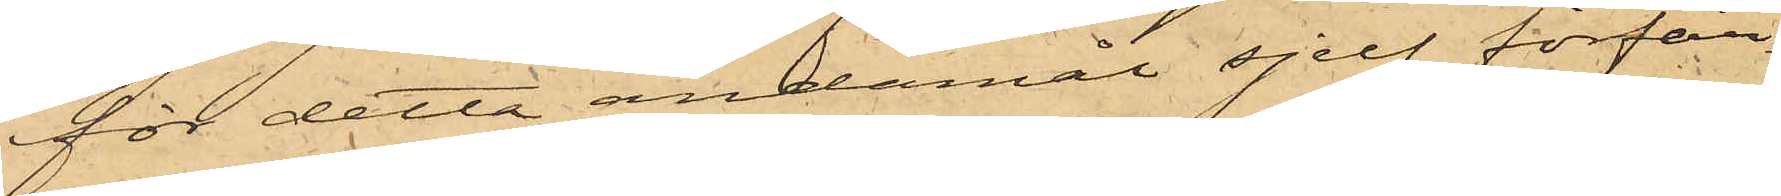för detta ändamål sjelf förfär¬
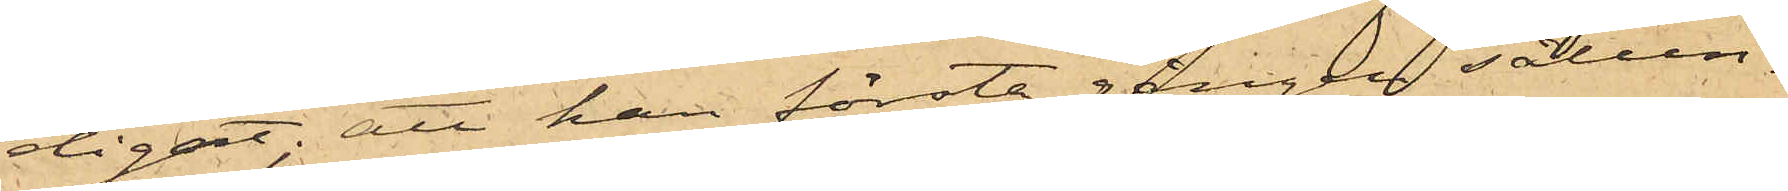digat; att han första gången sålun¬
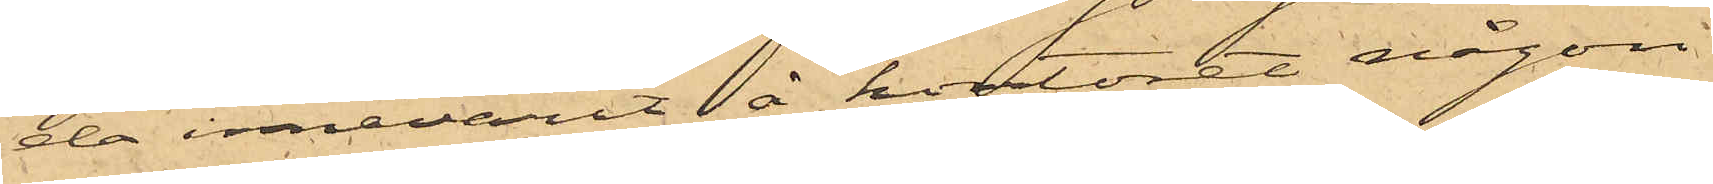de innevarit å kontoret någon
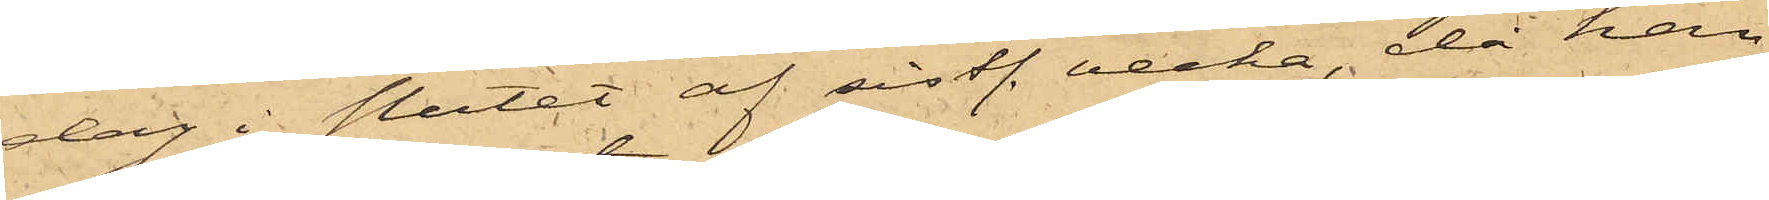dag i slutet af sistl. vecka, då han
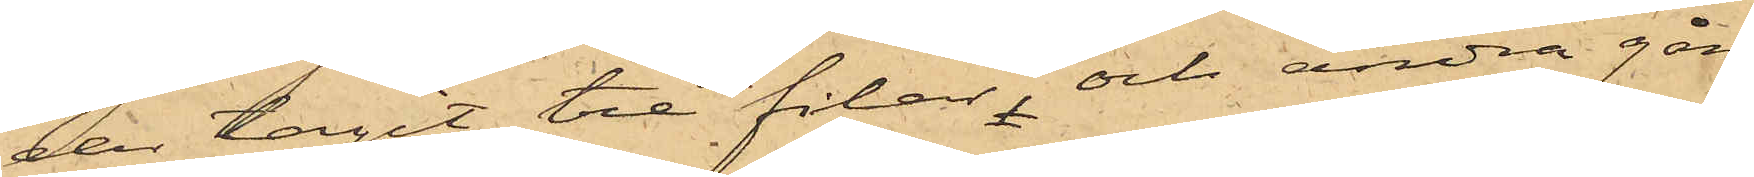der tagit tre filar, och andra gån¬
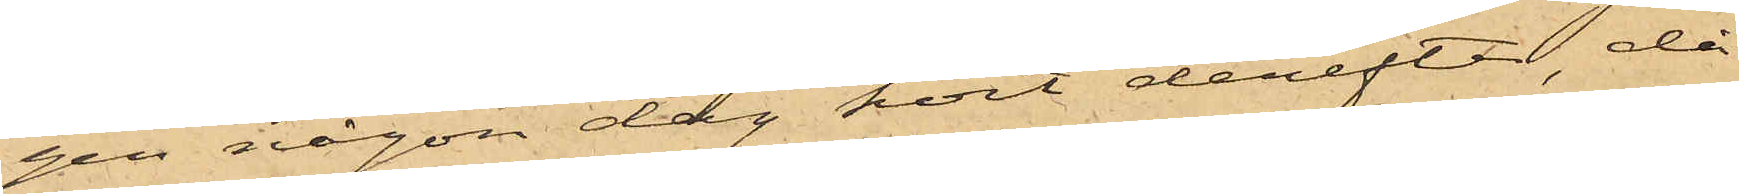gen någon dag kort derefter, då
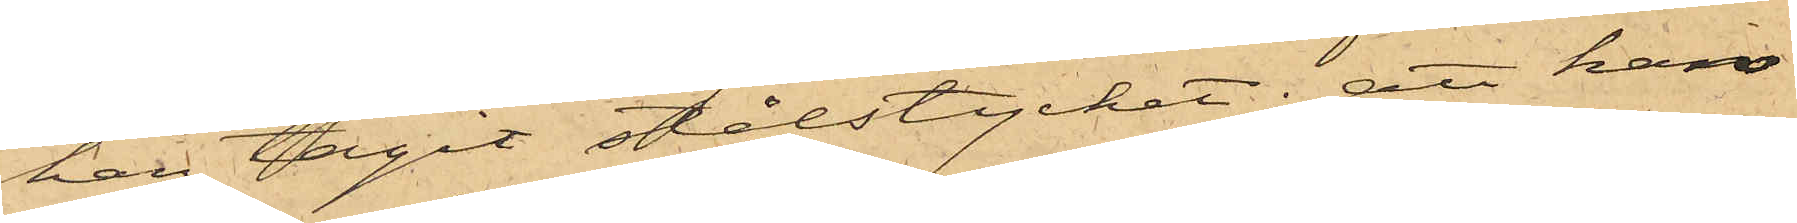han tagit stålstycket; att han
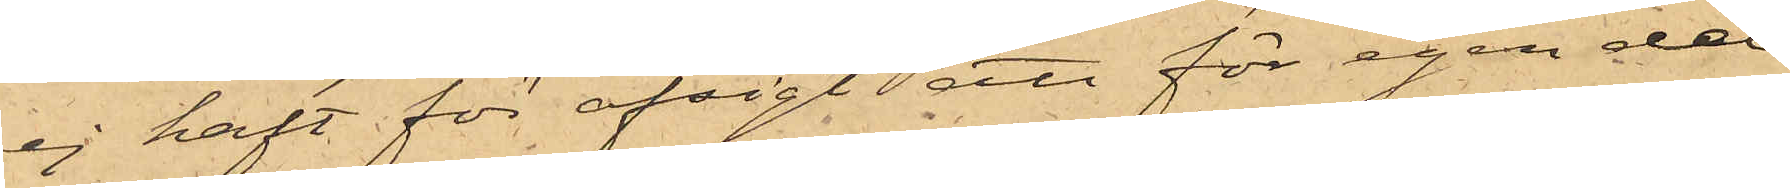ej haft för afsigt att för egen del
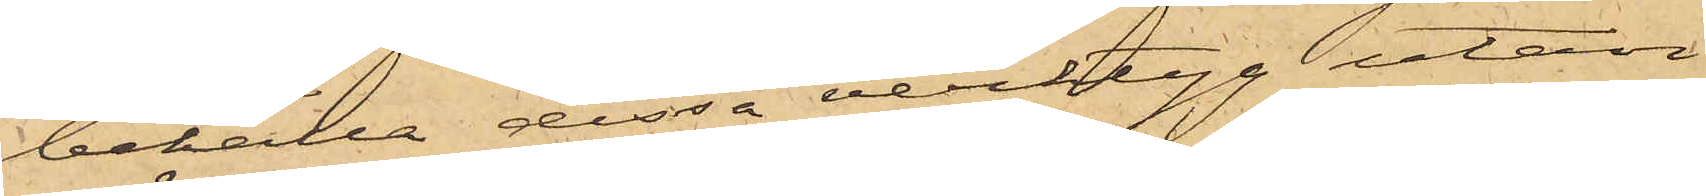behålla dessa verktyg utan
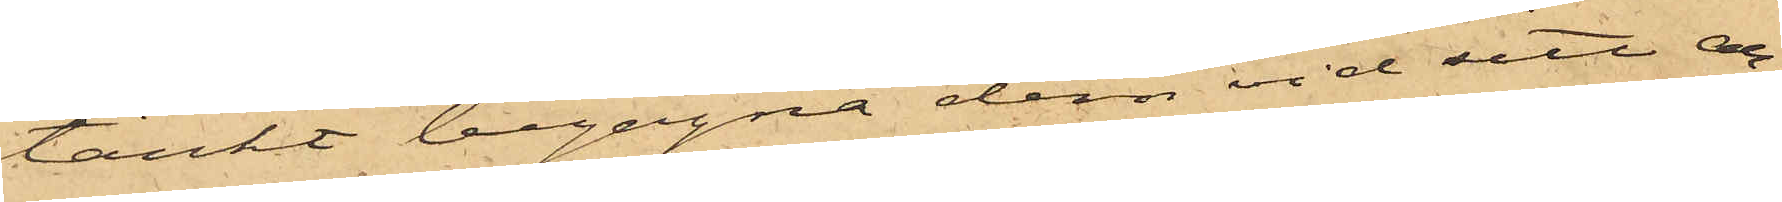tänkt begagna dem vid sitt ar¬
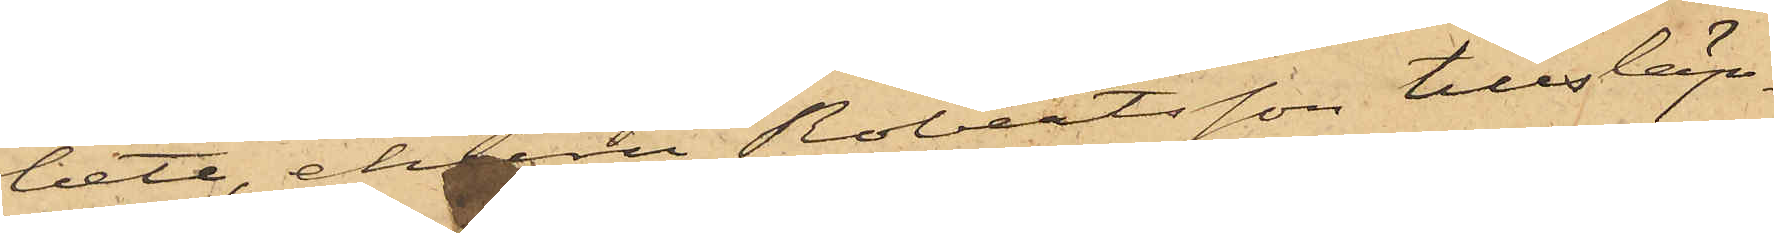bete, ehuru Robertsson tillsläp¬
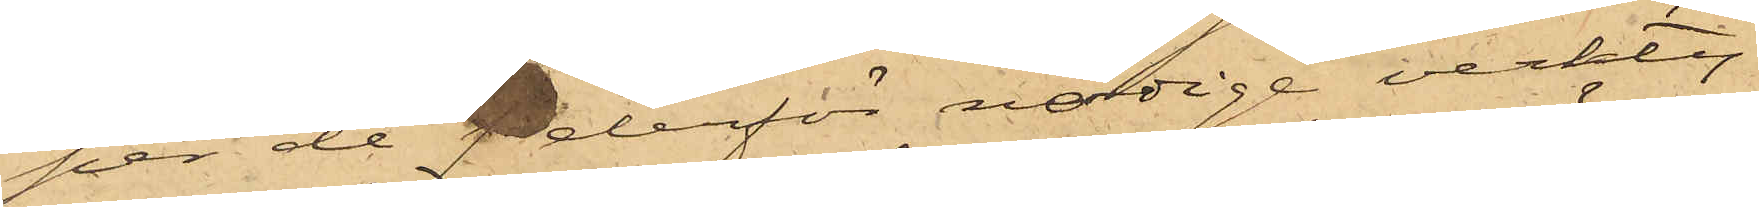per de f derför nödige verkty¬
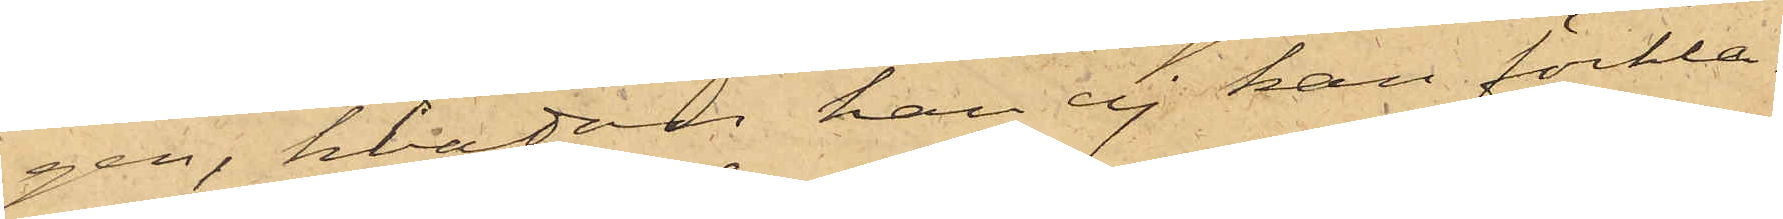gen, hvadan han ej kan förkla¬
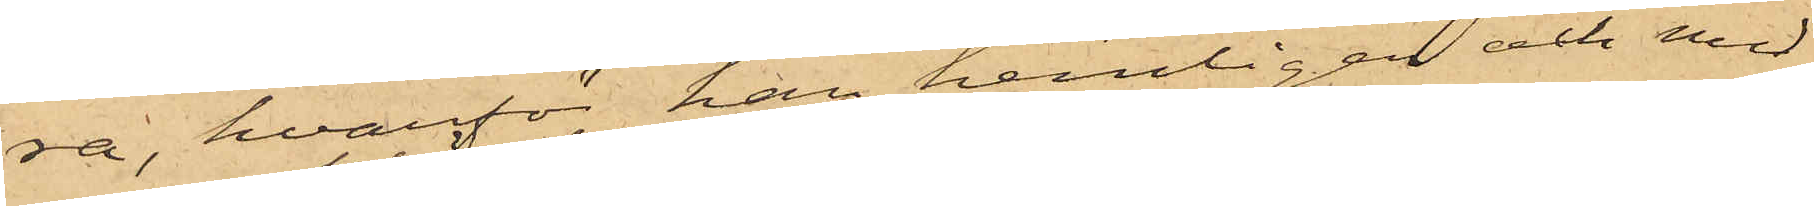ra, hvarför han hemligen och med
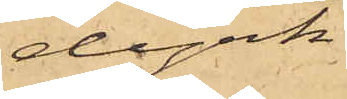dyrk
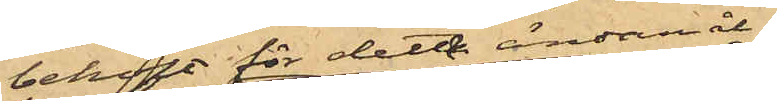behöft för detta ändamål
